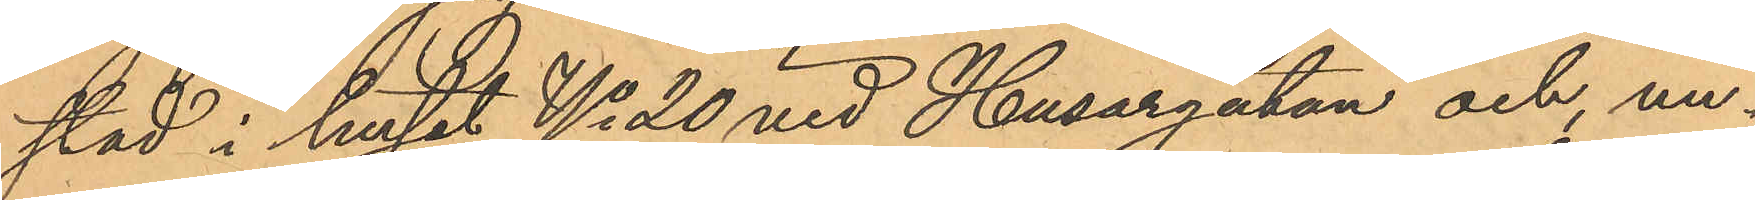stad i huset No 20 vid Husargatan och, un¬
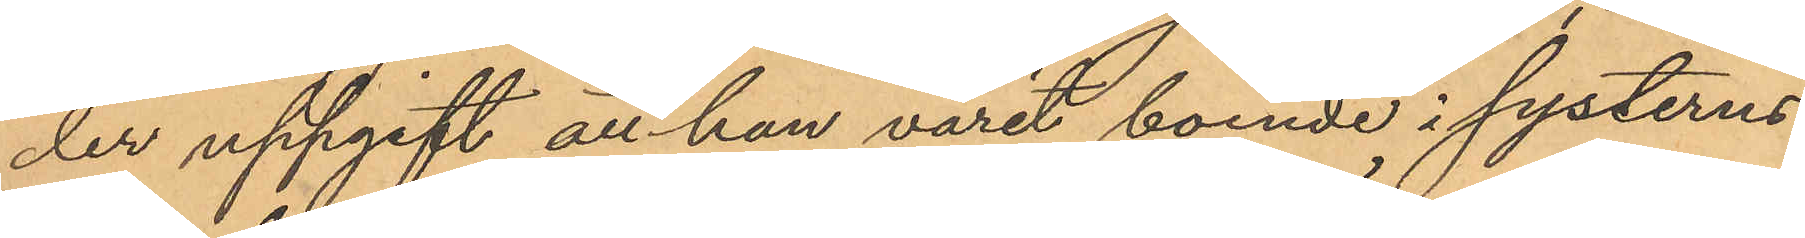der uppgift att han varit boende i systerns
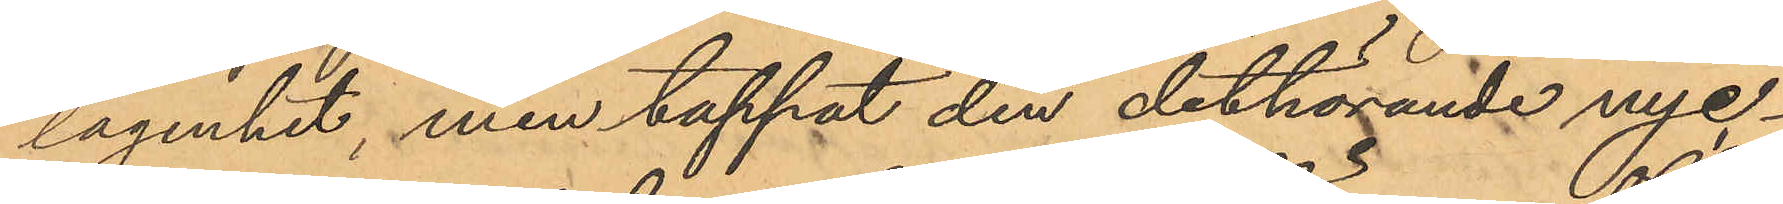lägenhet, men tappat den dithörande nyc¬
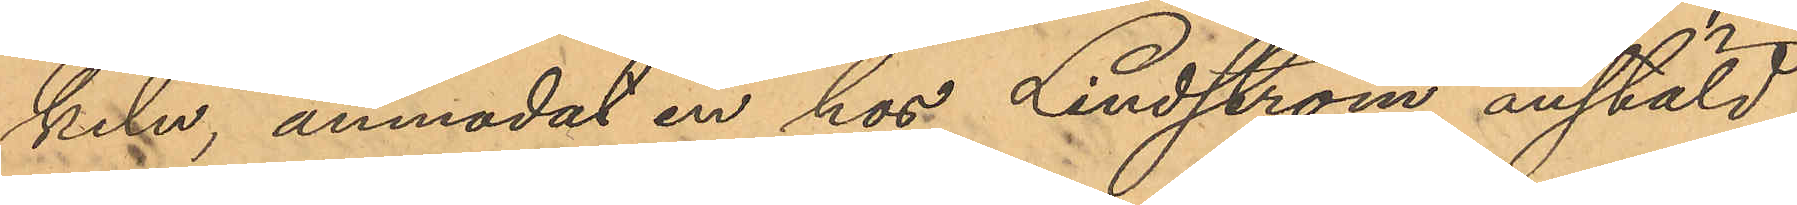keln, anmodat en hos Lindström anstäld
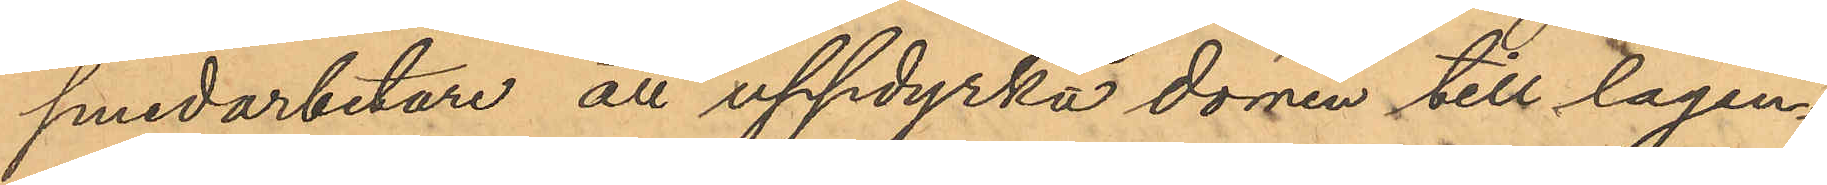smedarbetare att uppdyrka dörren till lägen¬
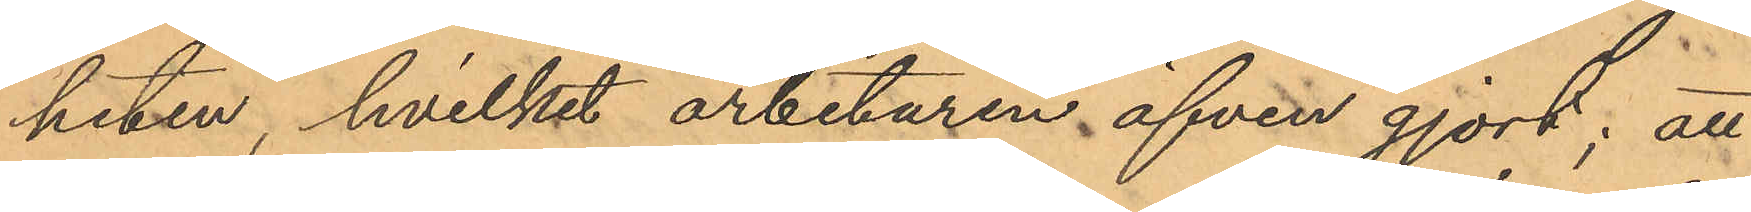heten, hvilket arbetaren äfven gjort; att
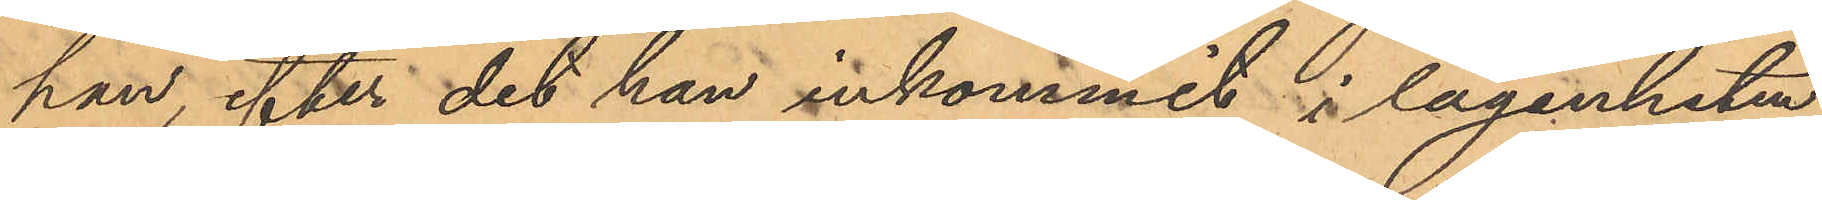han, efter det han inkommit i lägenheten,
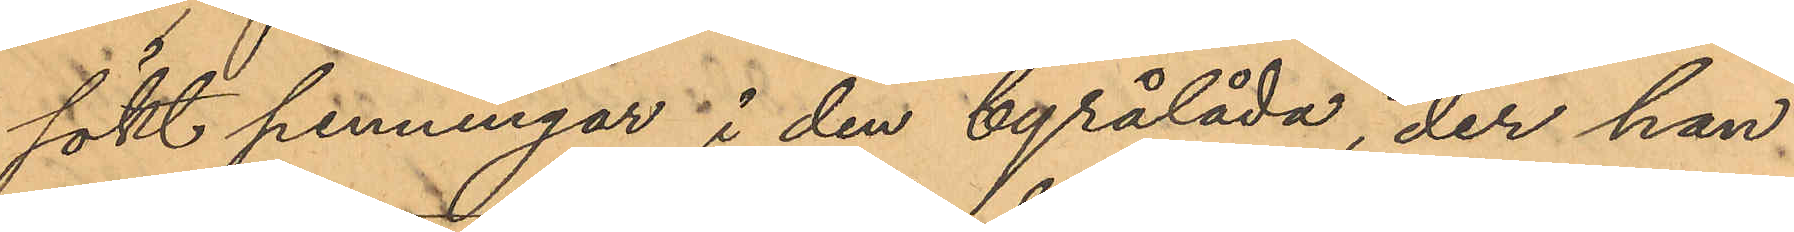sökt penningar i den byrålåda, der han
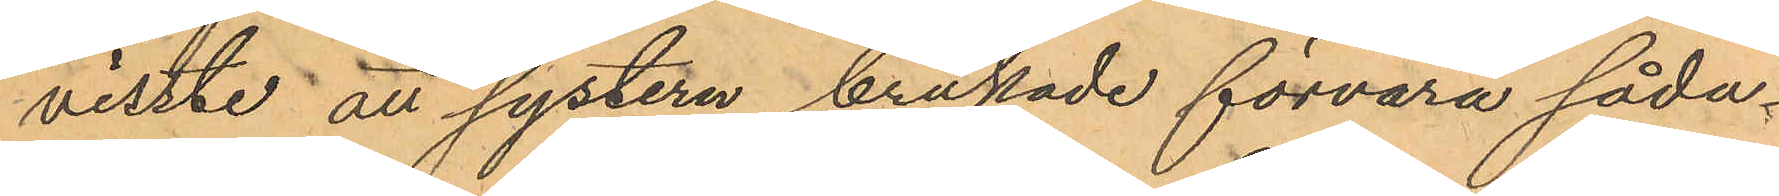visste att systern brukade förvara såda¬
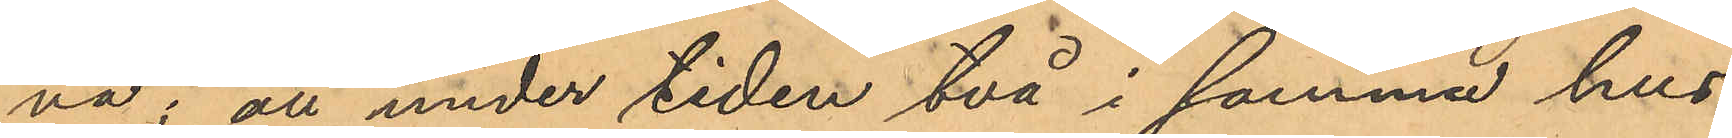na; att under tiden två i samma hus
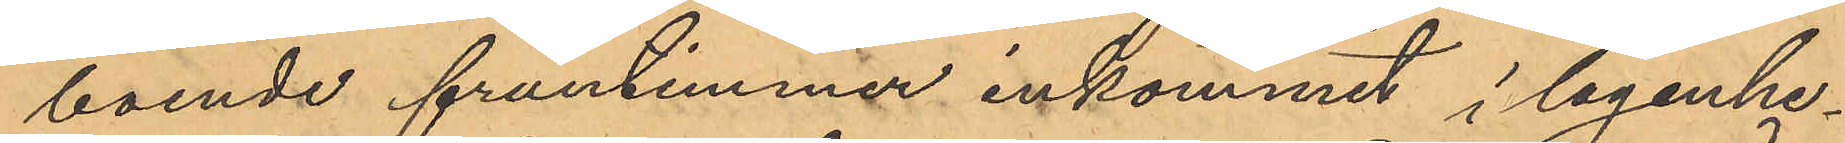boende fruntimmer inkommit i lägenhe¬
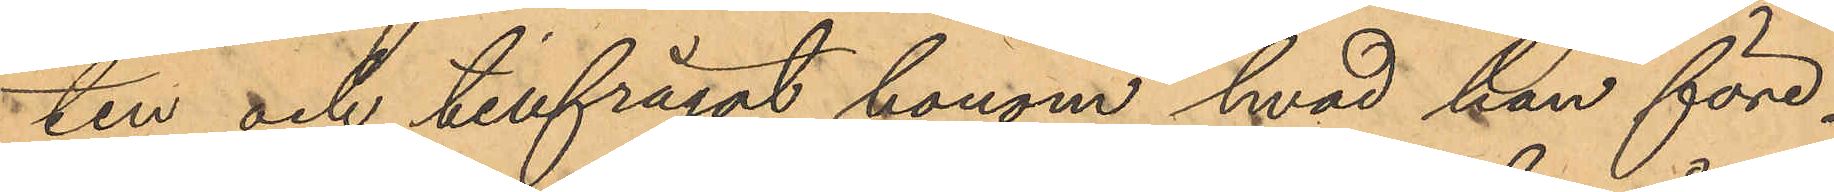ten och tillfrågat honom hvad han före¬
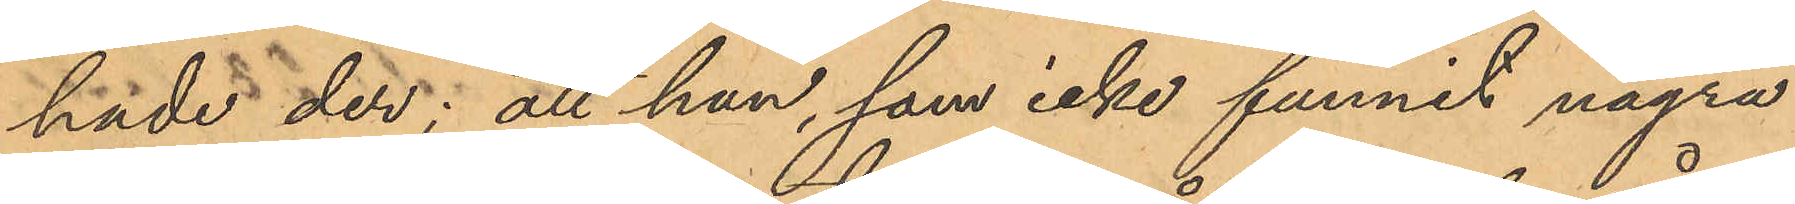hade der; att han, som icke funnit några
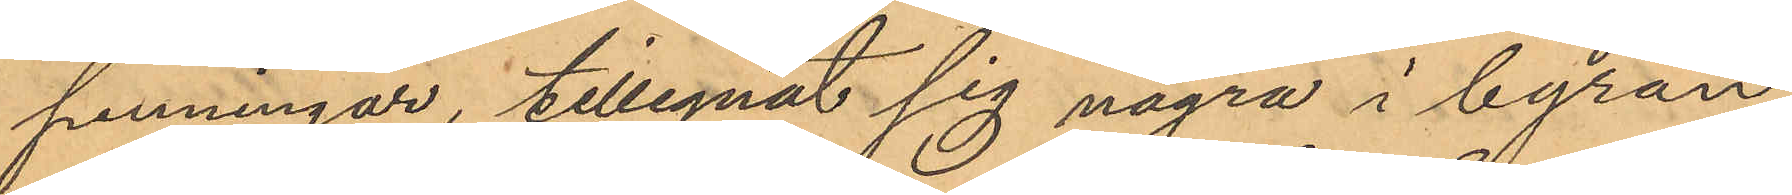penningar, tillegnat sig några i byrån
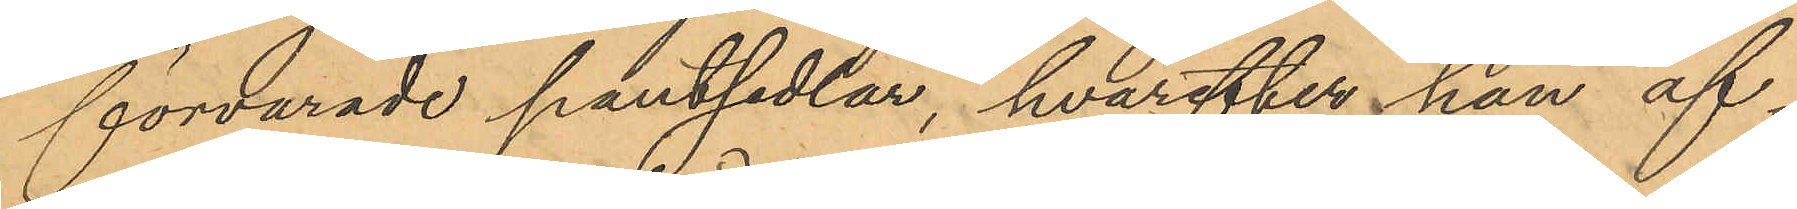förvarade pantsedlar, hvarefter han af
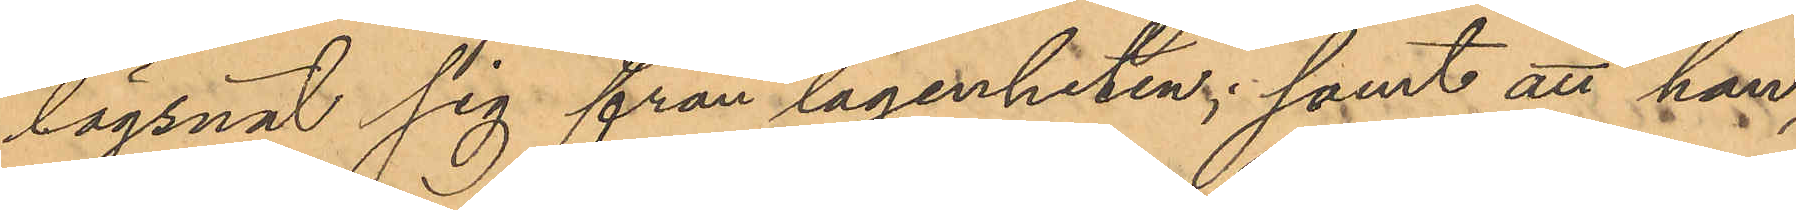lägsnat sig från lägenheten; samt att han,
